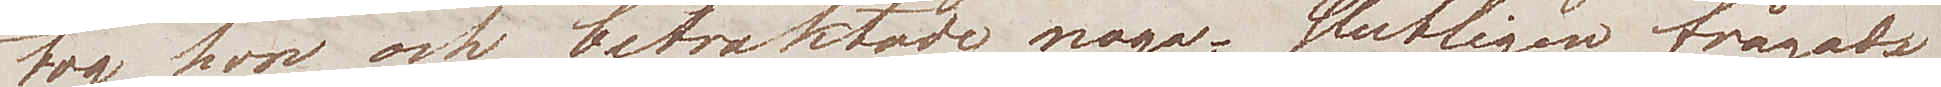tog hon och betraktade noga; slutligen frågade
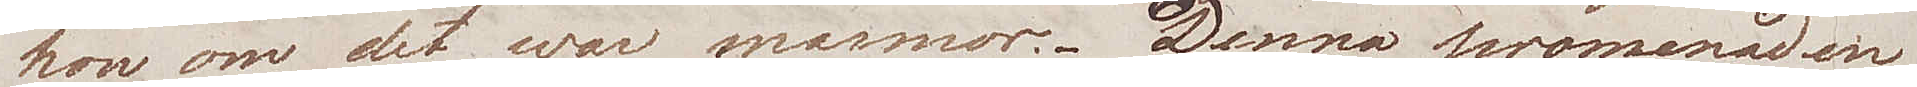hon om det war marmor. Denna promenaden
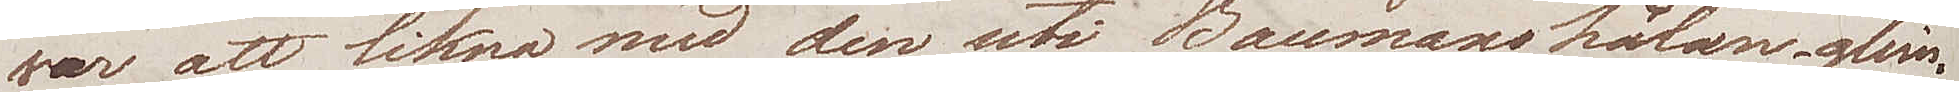var att likna med den uti Baumanshålan, glim¬
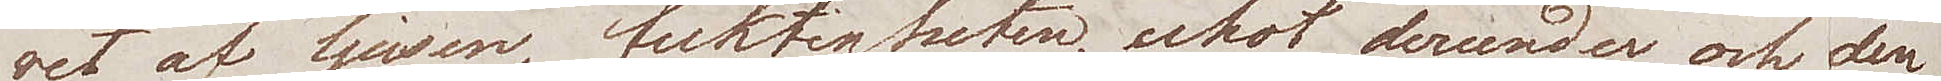ret av ljusen, fuktigheten,  ekot derunder och den
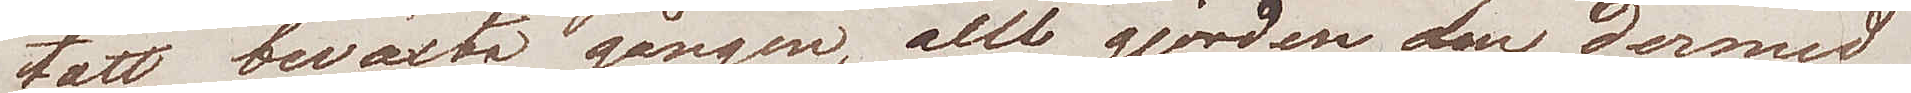tätt beväxta gången, allt gjorde den dermed
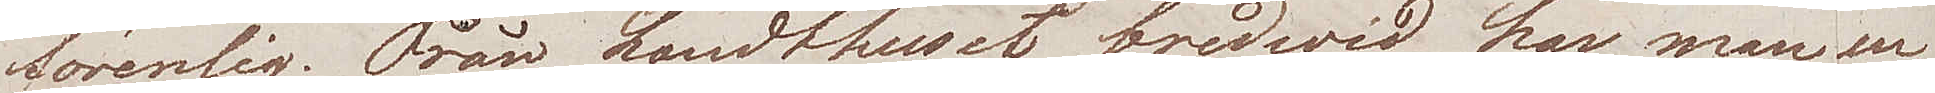förenlig. Från Landthuset bredwid har man en 
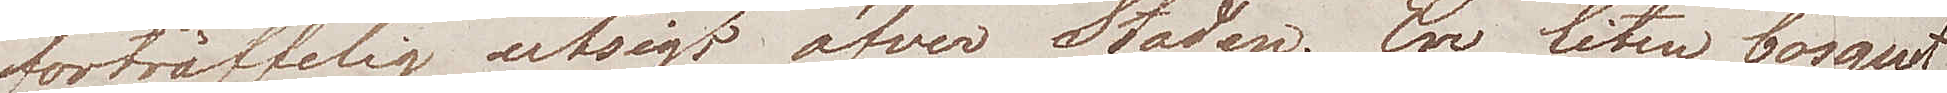förträfflig utsigt öfver Staden. En liten bosquet
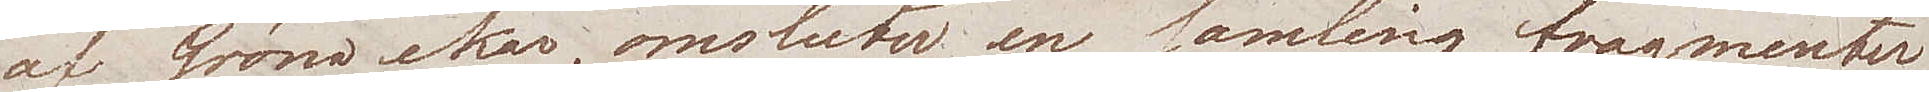af gröna ekar, omsluter en samling fragmenter
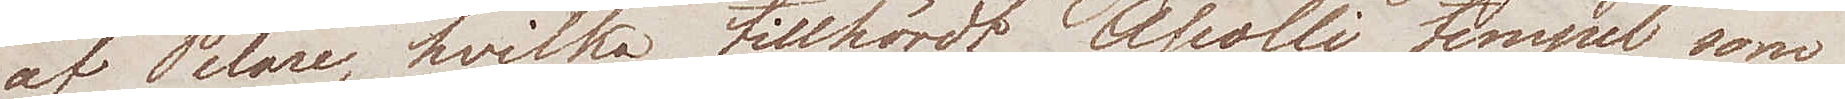af Pelare, hvilka tillhördt Apolli tempel som
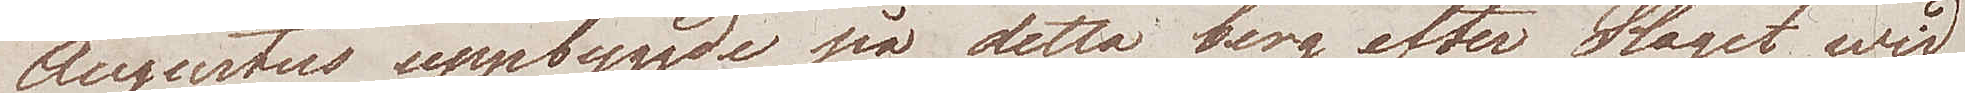Augustus uppbyggde på detta berg efter Slaget wid
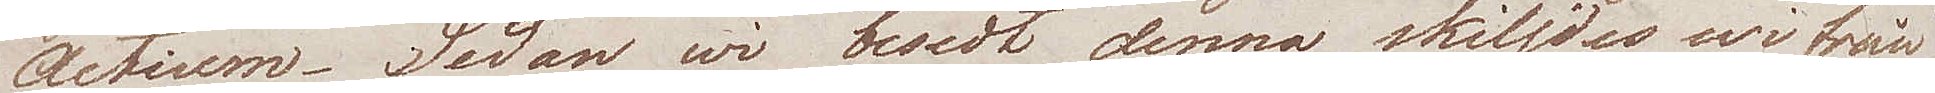Actium. Sedan wi besedt denna skiljdes wi från
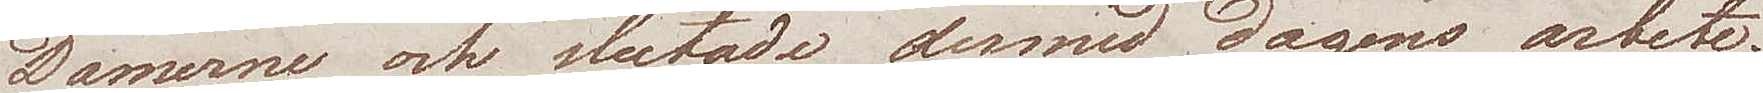Damerne och slutade dermed dagens arbete.
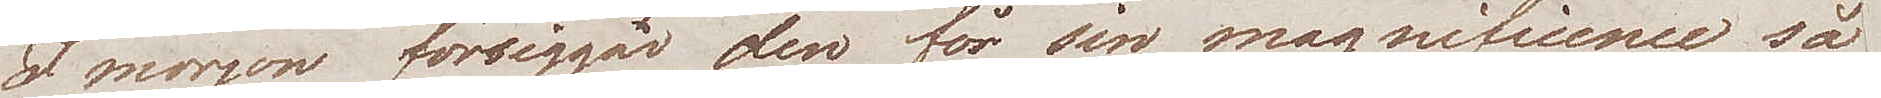I morgon försiggår den för sin magnificence så
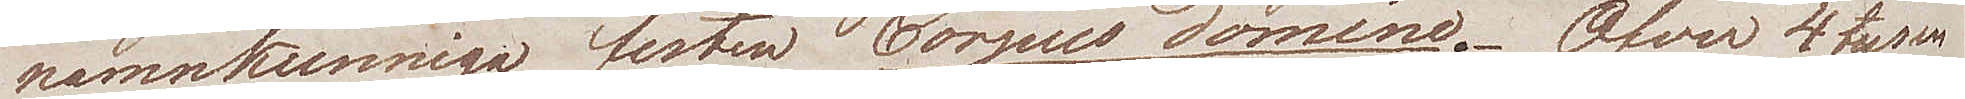namnkunniga festen Corpus Domine. Öfver 4 tusen
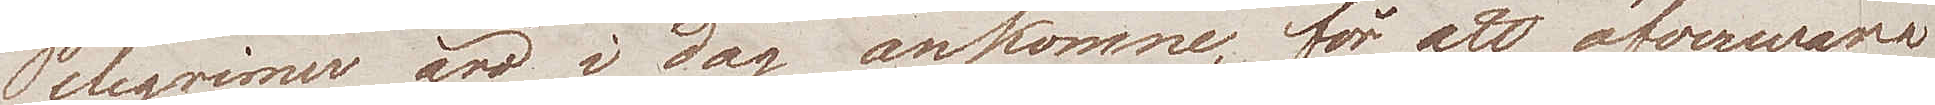Pelegrimer äro i dag ankomne, för att öfverwara
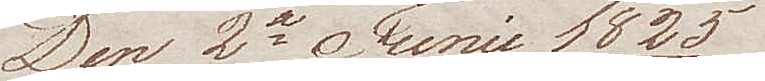Den 2e Junii 1825
